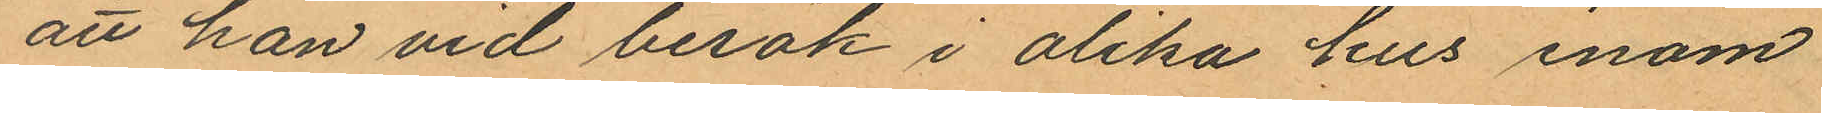att han vid besök i olika hus inom
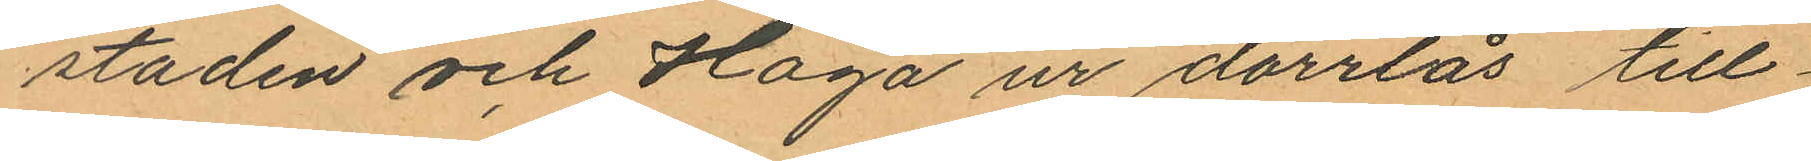staden och Haga ur dörrlås till¬
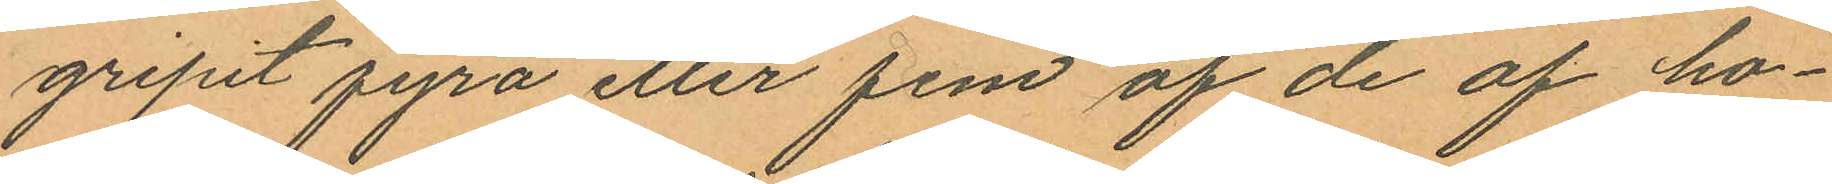gripit fyra eller fem af de af ho¬
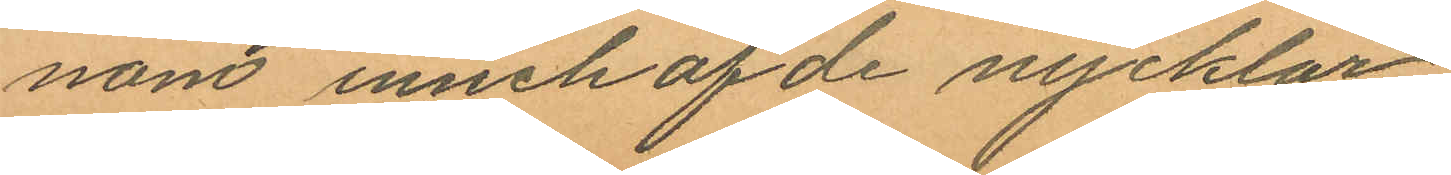nom innehafde nycklar
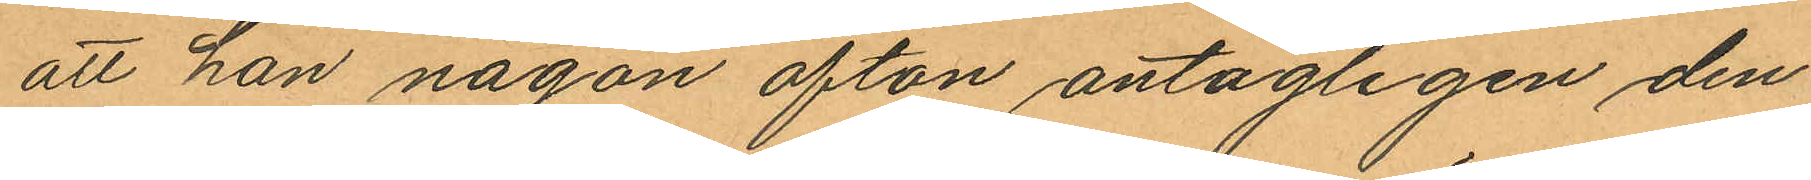att han någon afton antagligen den
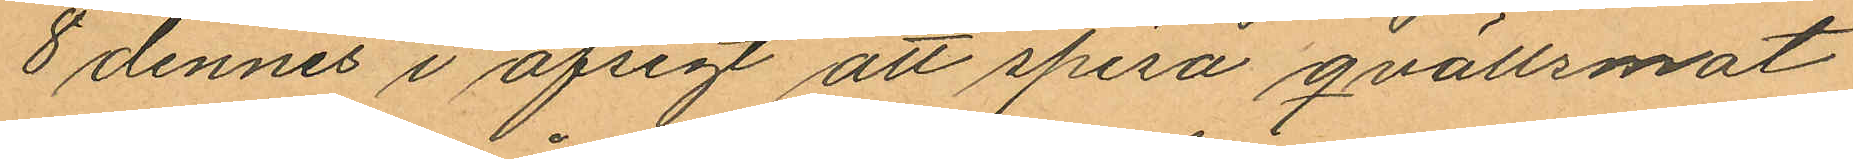8 dennes i afsigt att spisa qvällsmat
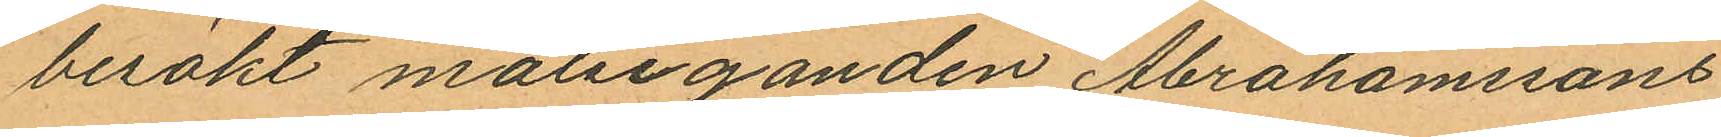besökt målseganden Abrahamssons
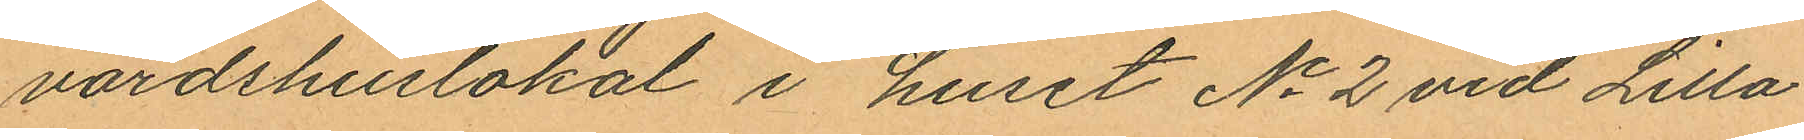värdshuslokal i huset No 2 vid Lilla
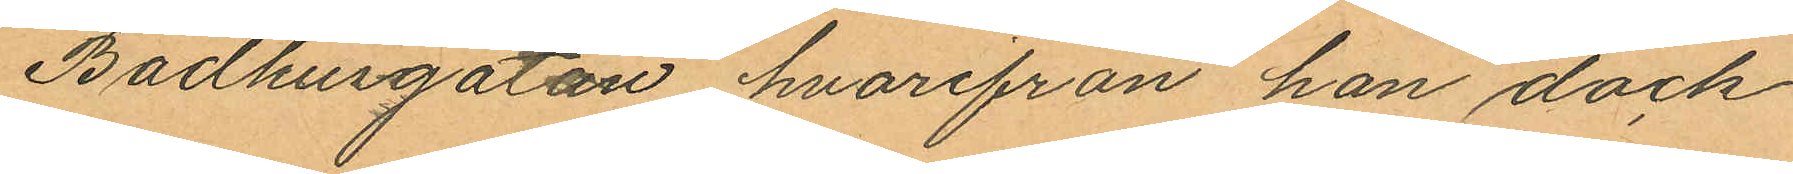Badhusgatan, hvarifrån han dock
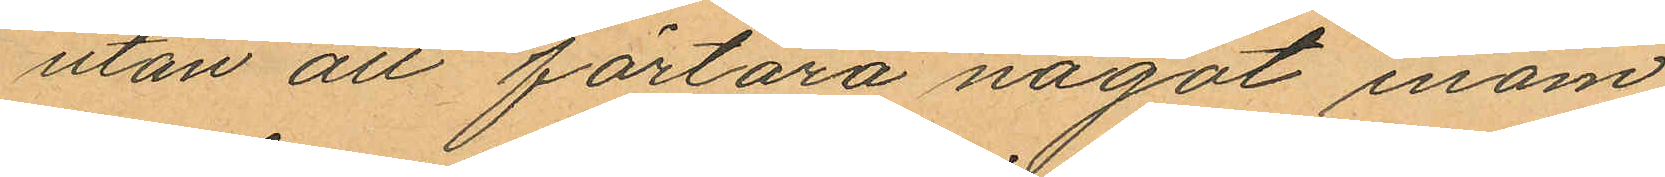utan att förtära något inom
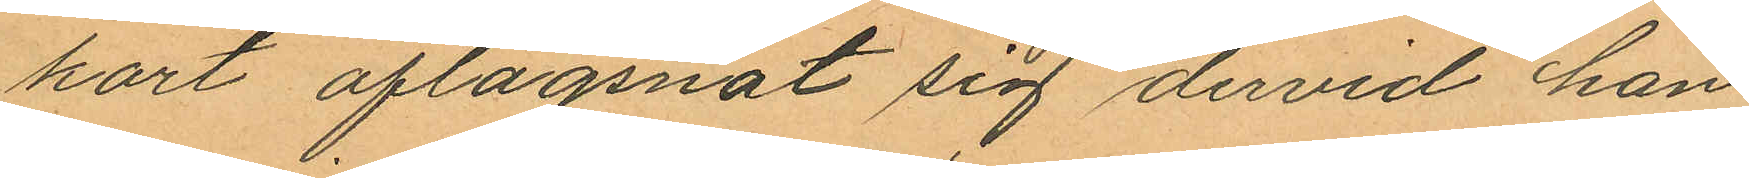kort aflägsnat sig dervid han
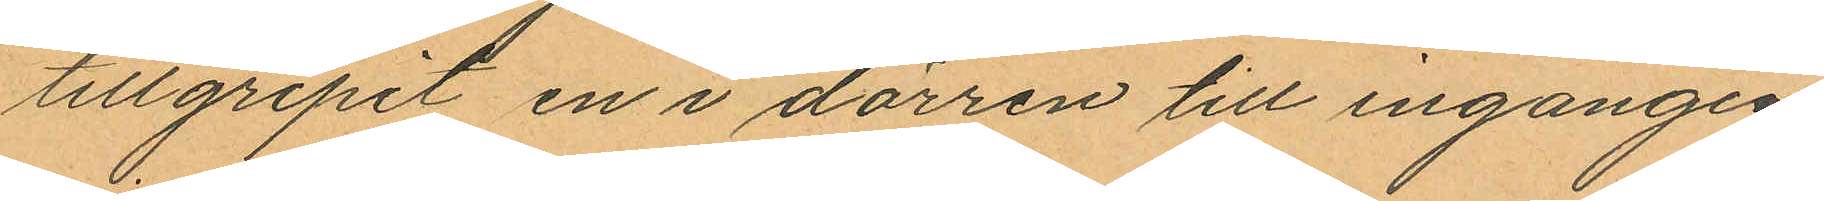tillgripit en i dörren till ingången
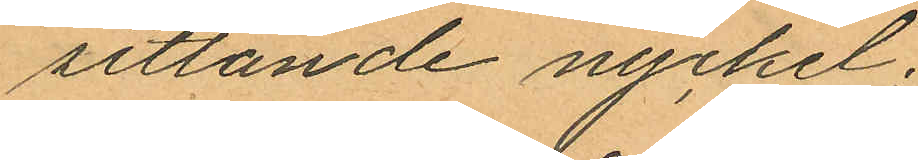sittande nyckel;
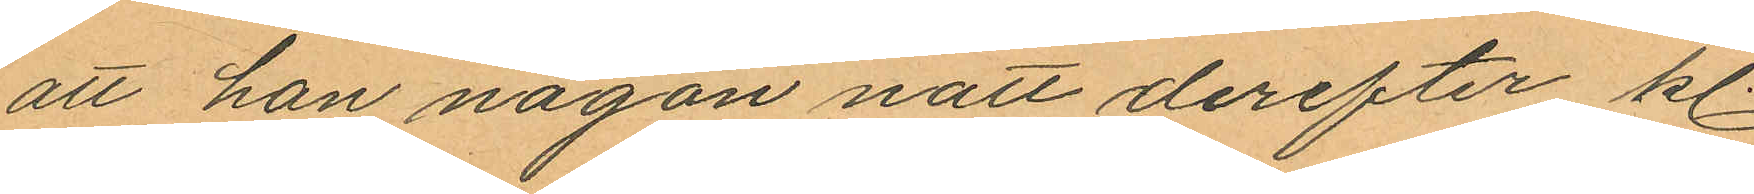att han någon natt derefter kl.
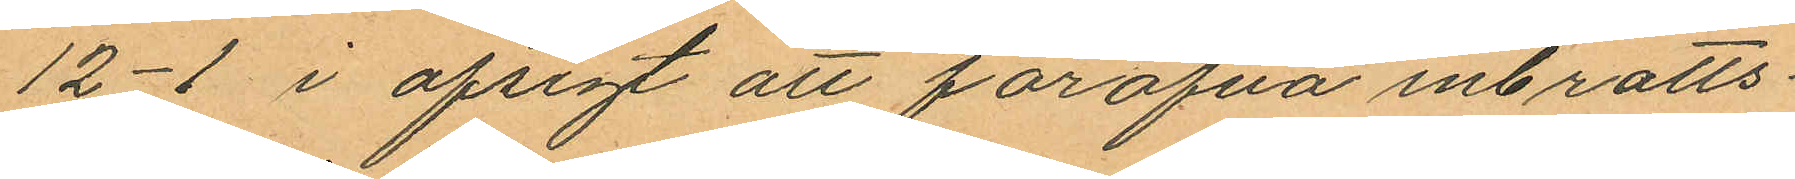12-1 i afsigt att föröfva inbrotts¬
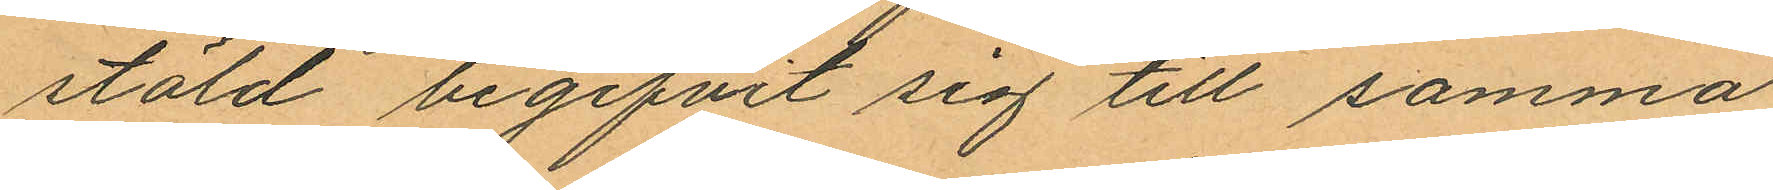stöld begifvit sig till samma
